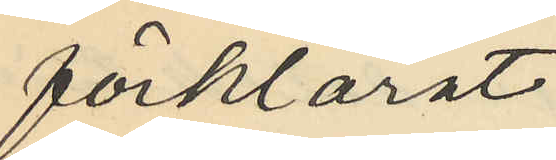förklarat:
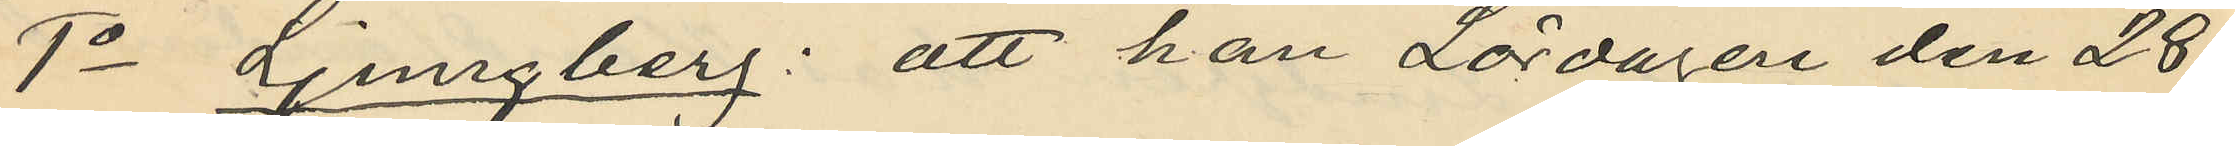1o Ljungberg: att han Lördagen den 28
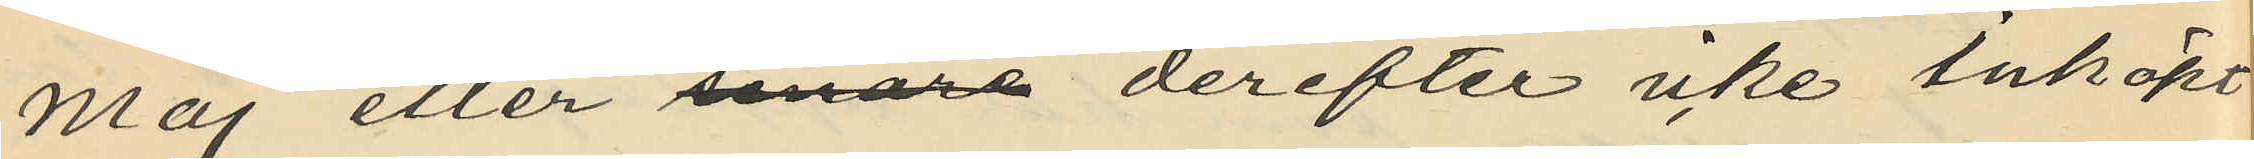Maj eller senare derefter icke inköpt
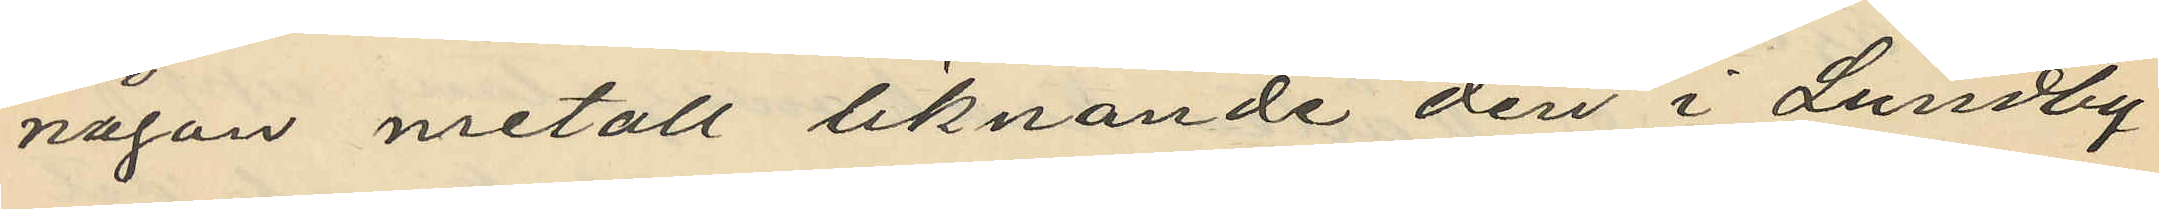någon metall liknande den i Lundby
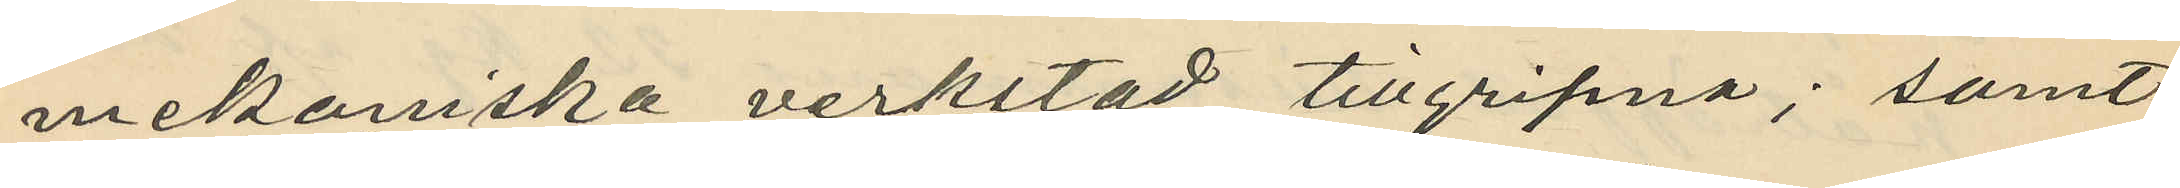mekaniska verkstad tillgripna; samt
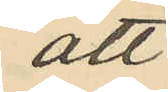att
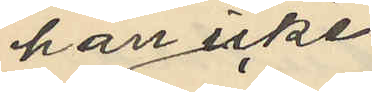han icke
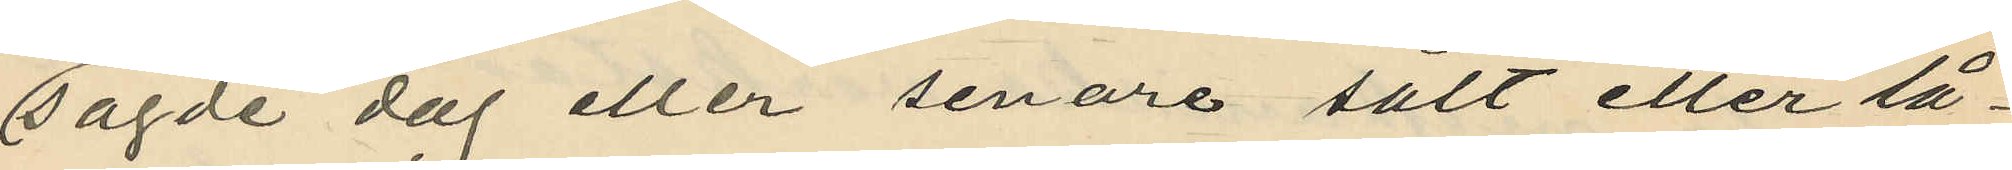sagde dag eller senare sålt eller lå¬
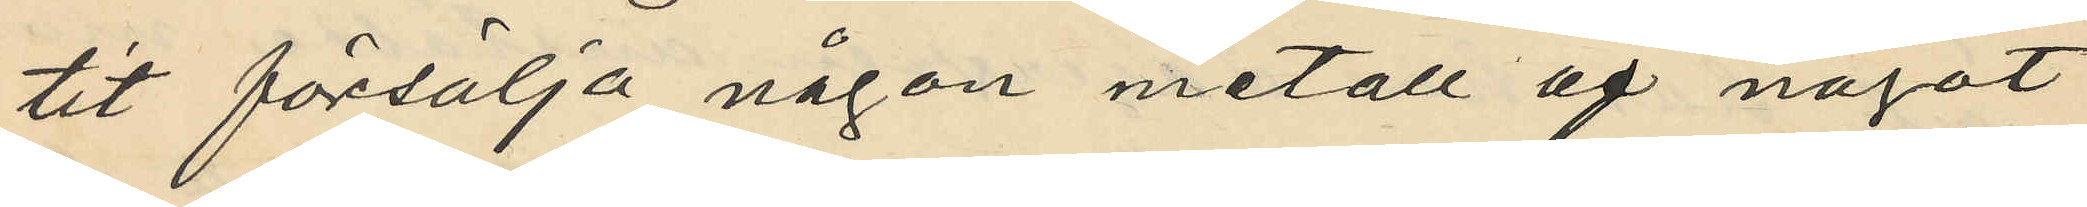tit försälja någon metall af något
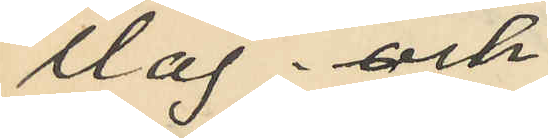slag; och
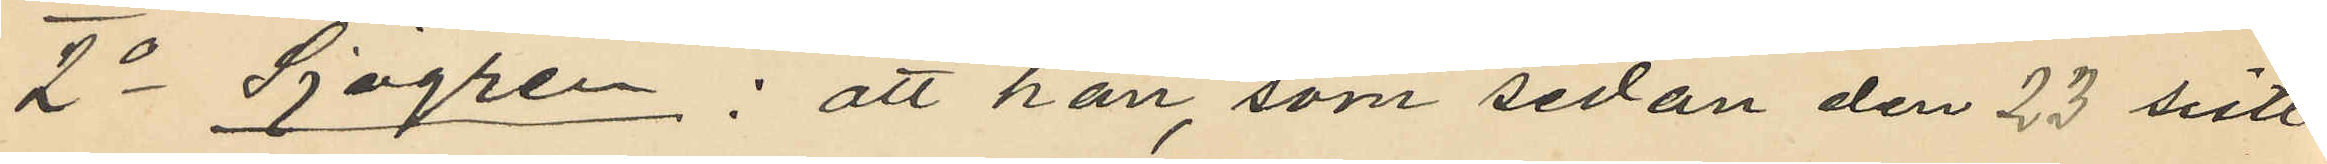2o Sjögren: att han, som sedan den 23 sistl.
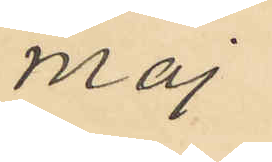Maj
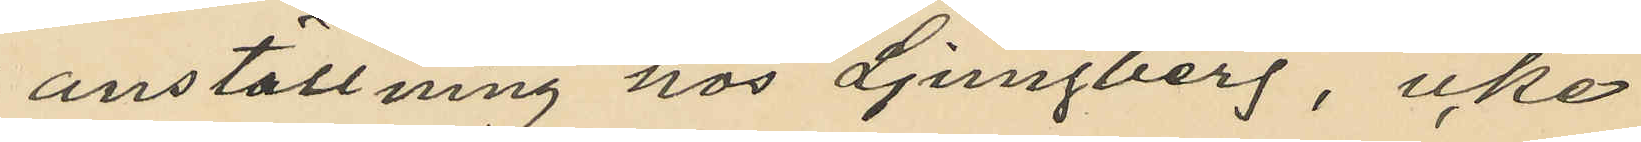anställning hos Ljungberg, icke
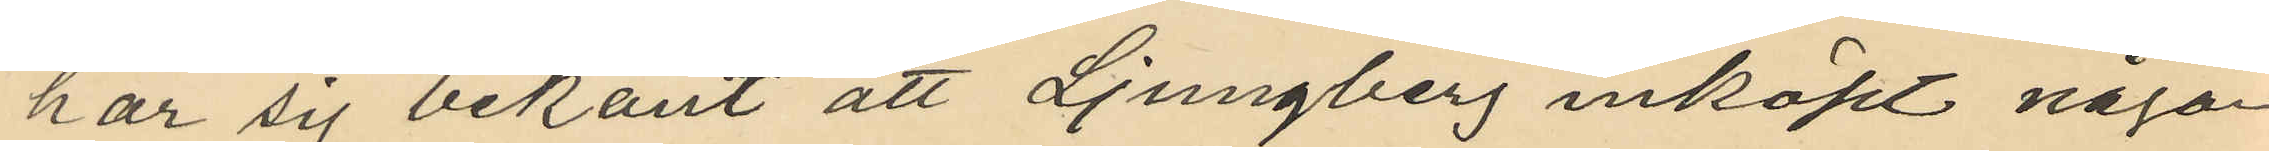har sig bekant att Ljungberg inköpt någon
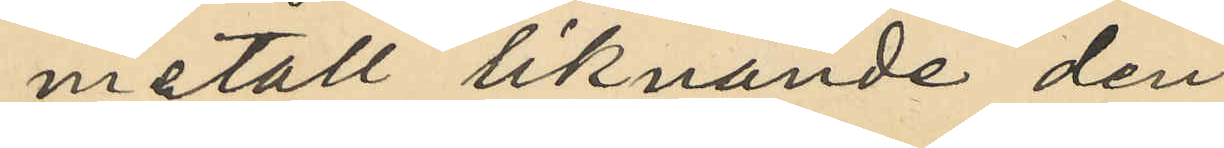metall liknande den
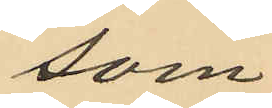som
